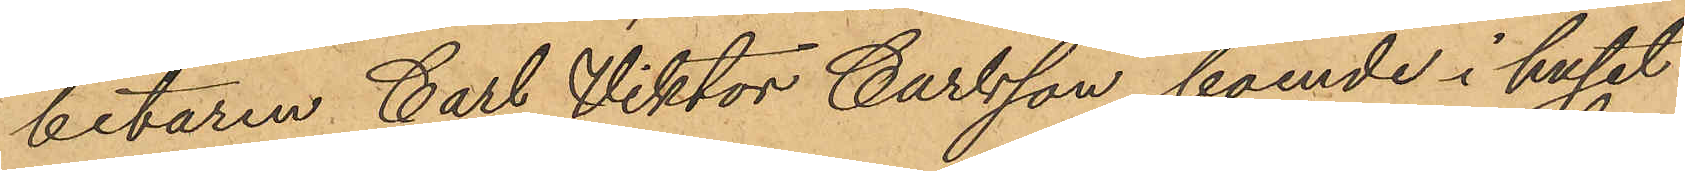betaren Carl Viktor Carlsson, boende i huset
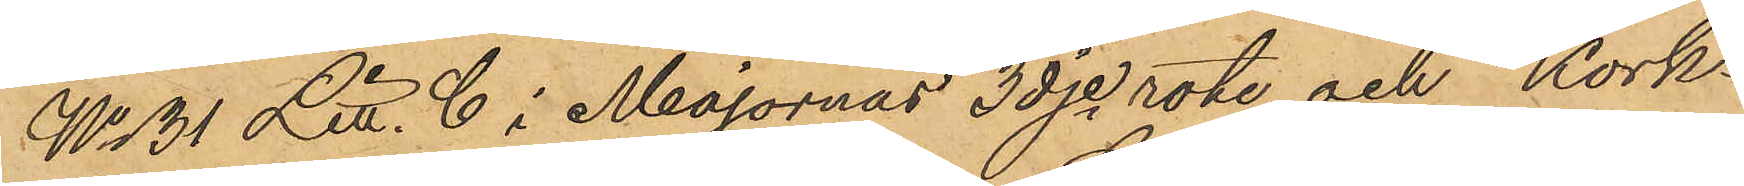No 31 Litt. C i Majornas 3dje rote och Kork¬
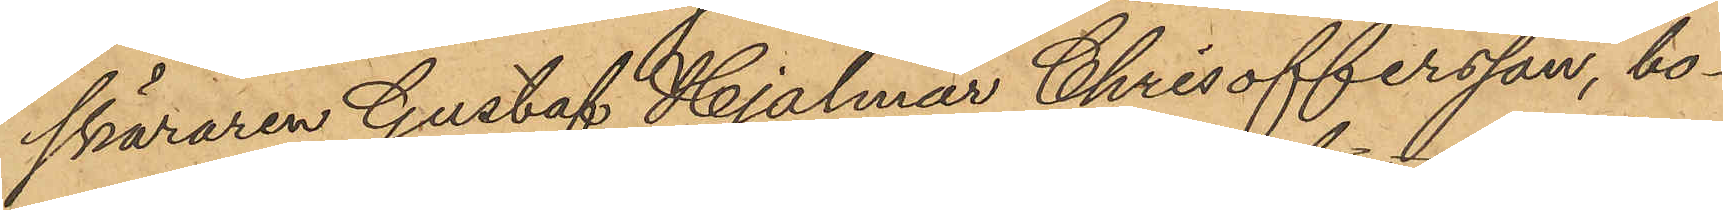skäraren Gustaf Hjalmar Chrisoffersson, bo¬
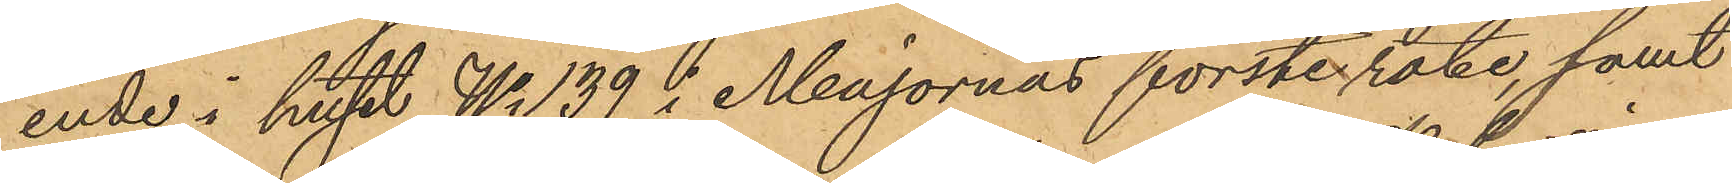ende i huset No 139 i Majornas förste rote, samt
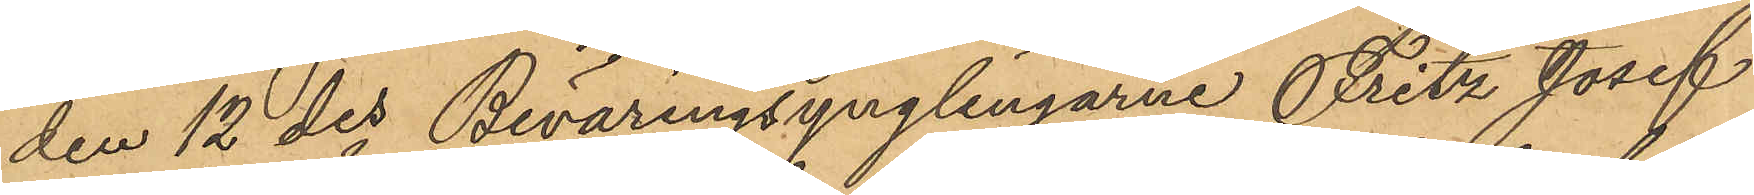den 12 des Beväringsynglingarne Fritz Josef
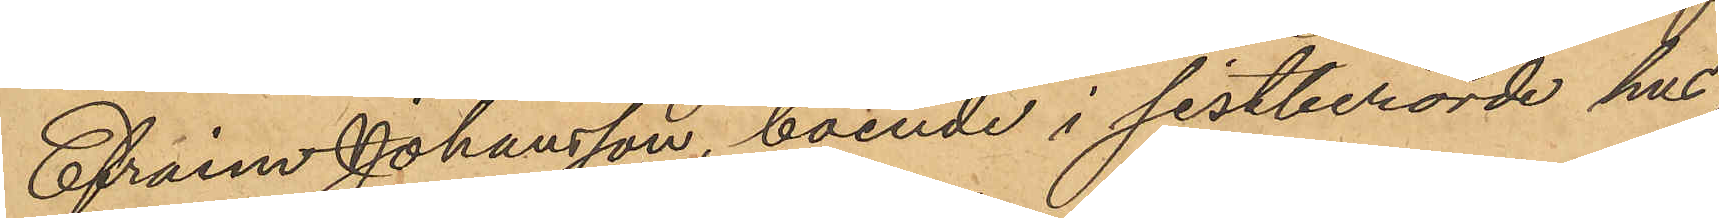Efraim Johansson, boende i sistberörde hus,
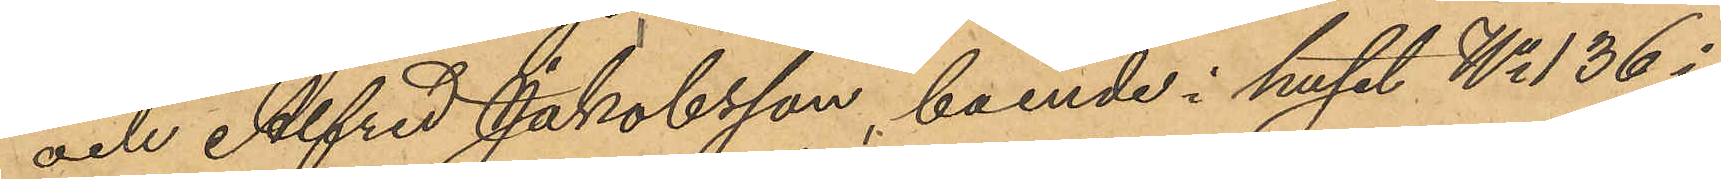och Alfred Jakobsson, boende i huset No 136 i
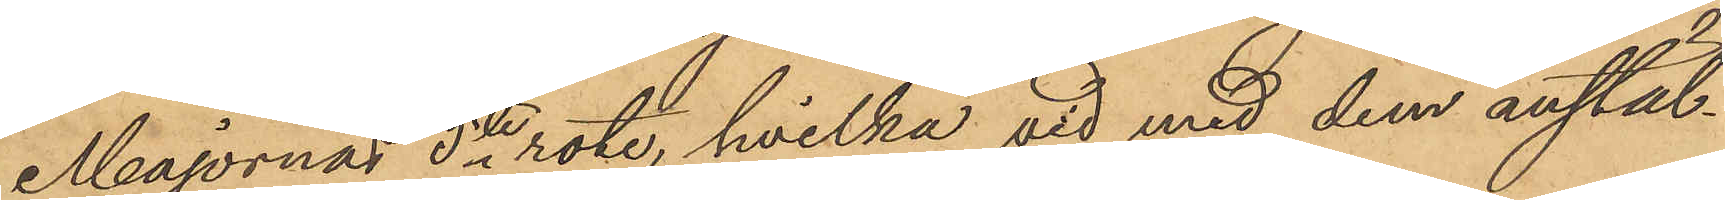Majornas 5te rote, hvilka vid med dem anstäl¬
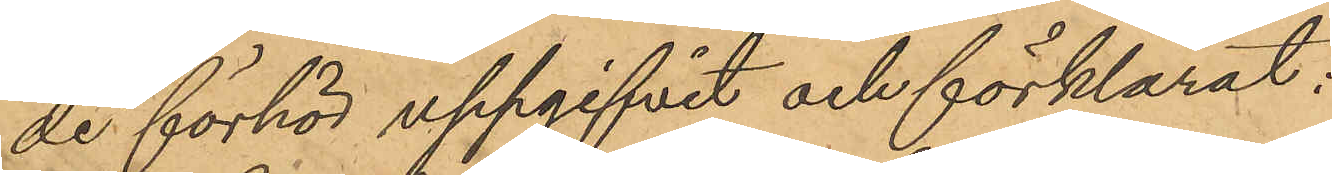de förhör uppgifvit och förklarat:
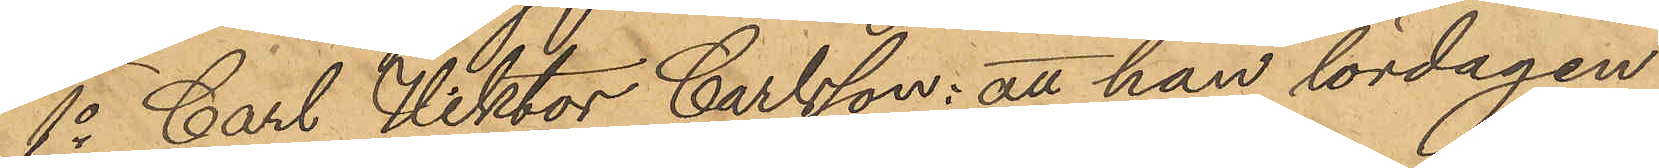1o Carl Viktor Carlsson: att han lördagen
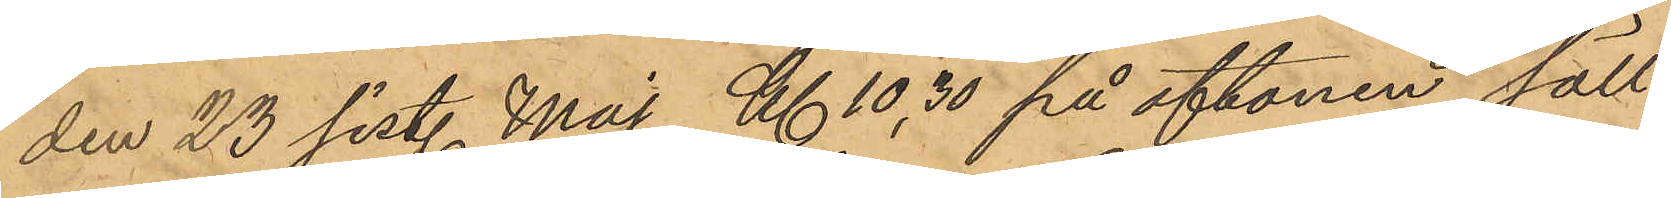den 23 sist. Maj Kl. 10,30 på aftonen säll¬
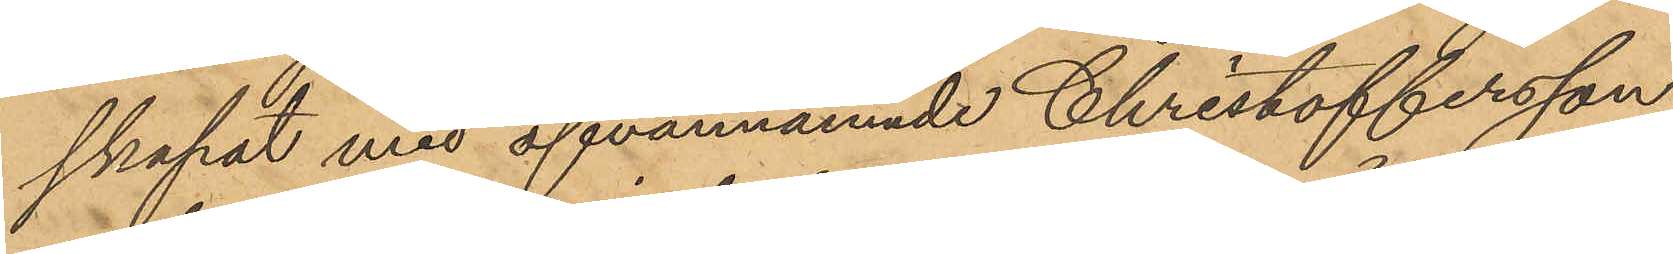skapat med ofvannämnde Christoffersson,
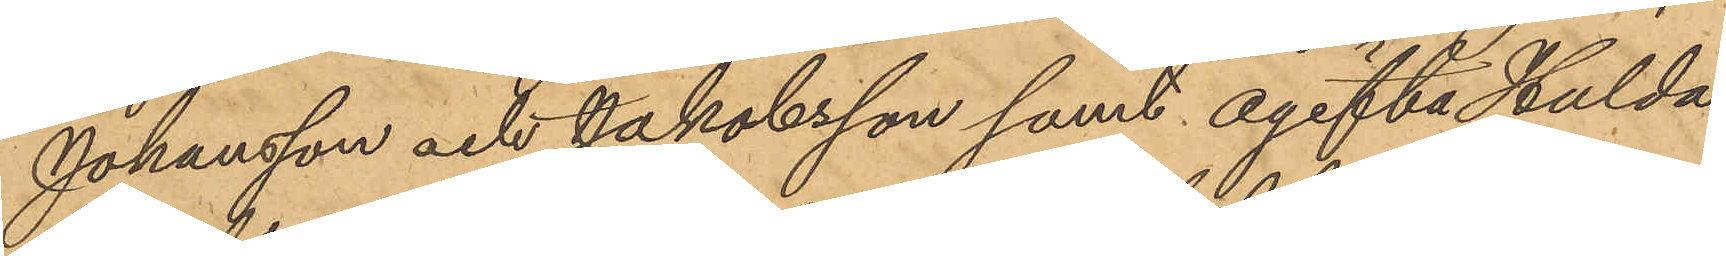Johansson och Jakobsson samt ogifta Hulda
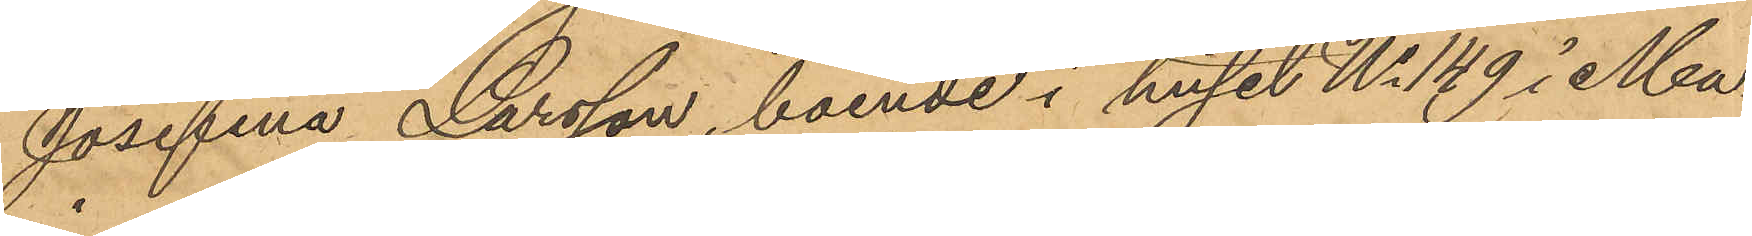Josefina Larsson, boende i huset No 149 i Ma¬
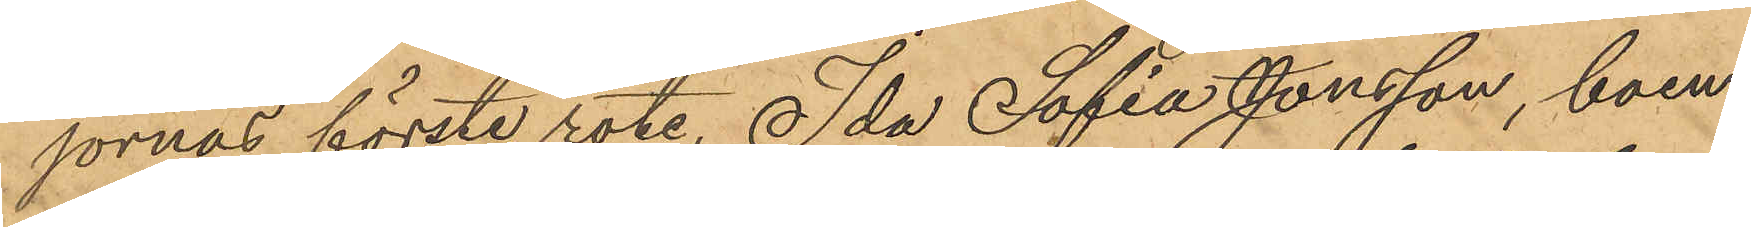jornas förste rote, Ida Sofia Jonsson, boen¬
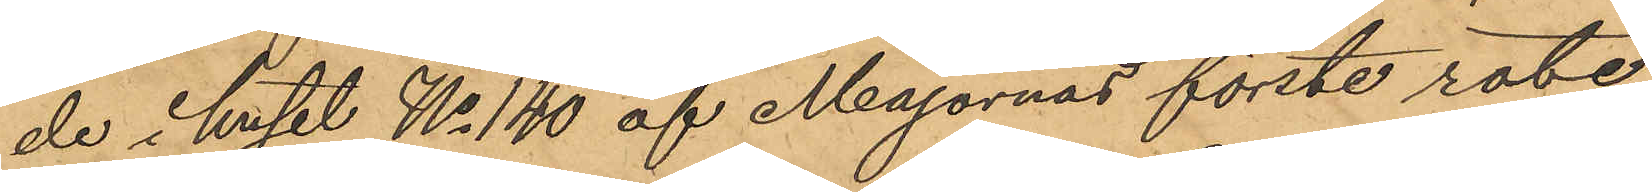de i huset No 140 af Majornas förste rote
